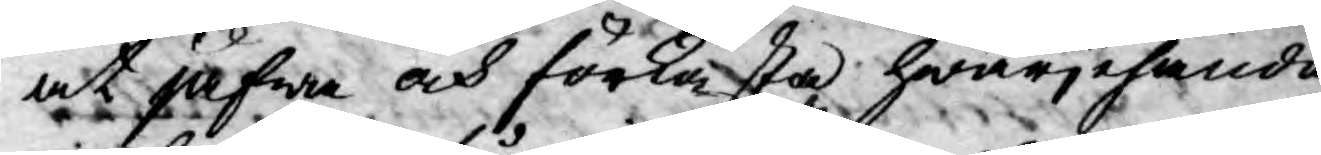at jäfwa och förkasta hwarjehanda
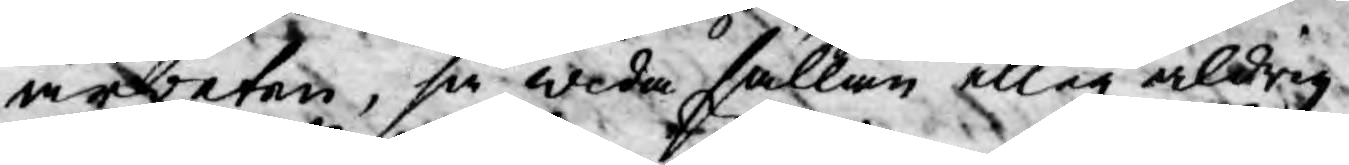arbeten, så wida sällan eller aldrig
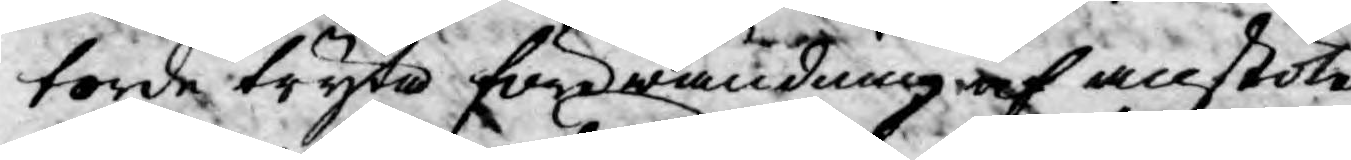torde tryta förewändning af anstöte¬
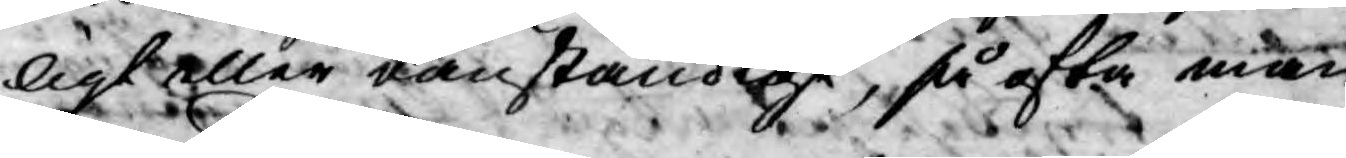ligt eller oanständigt, så ofta man
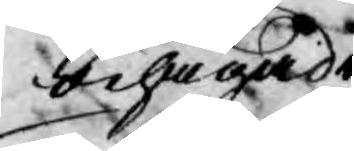behagade.
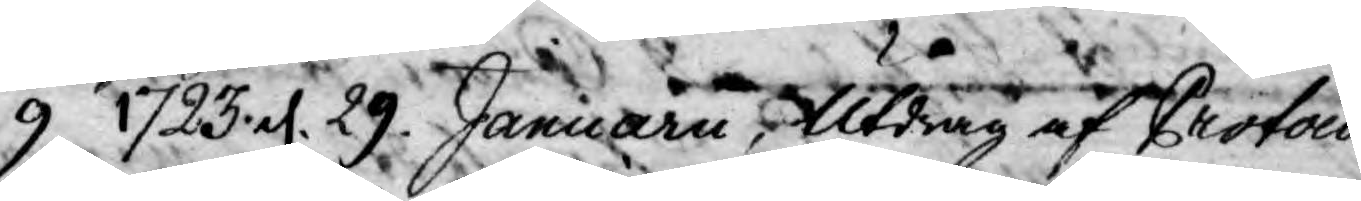9. 1723 d. 29 Januarii Utdrag af Protocol¬
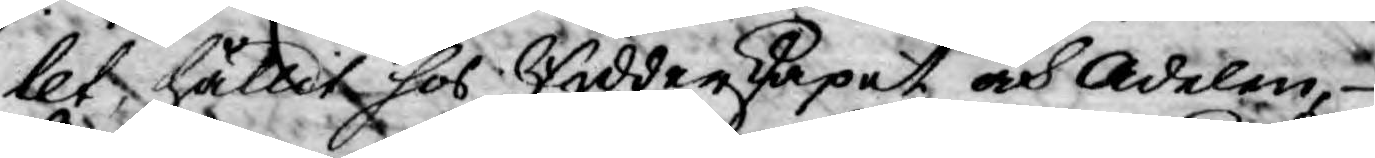let hållit hos Ridderskapet och Adelen
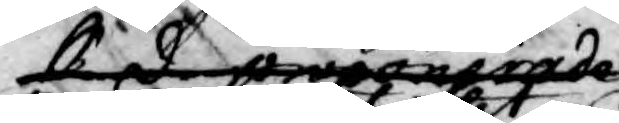kerd proponerade
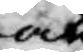at
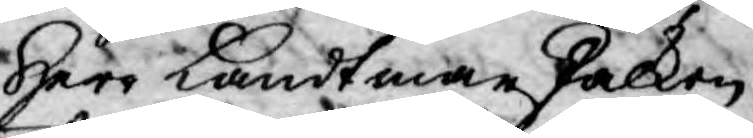Herr Landtmanskalken
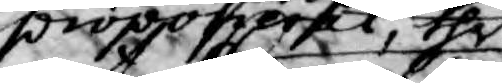proponerat thet
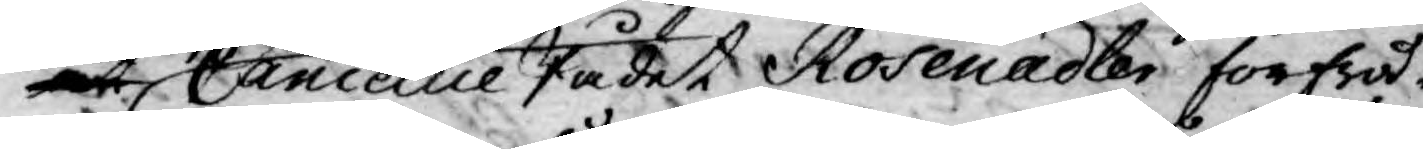at Cancellie Rådet Rosenadler förfrå¬
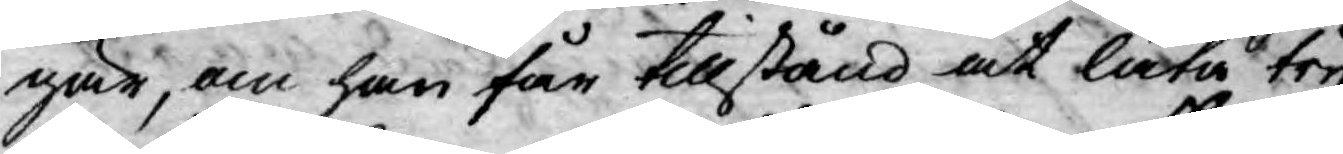gar, om han får tillstånd at låta tryc¬
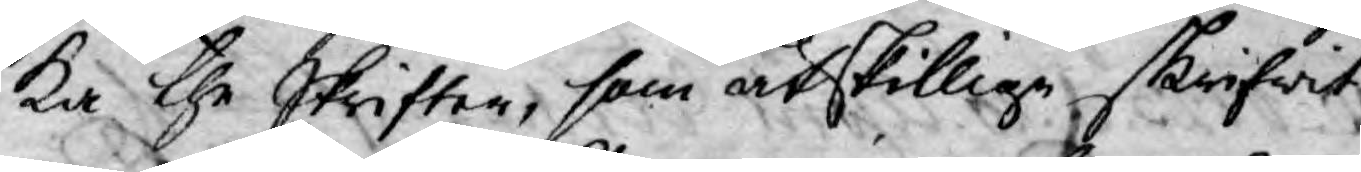ka the Skrifter, som åtskillige skrifwit
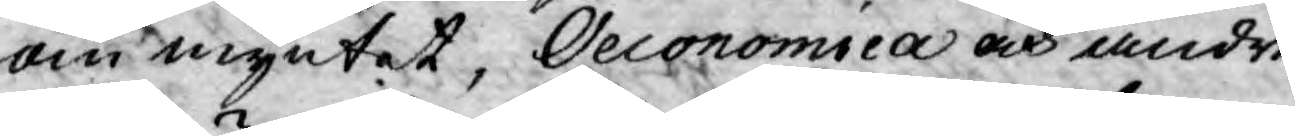om myntet, Oeconomica och andre
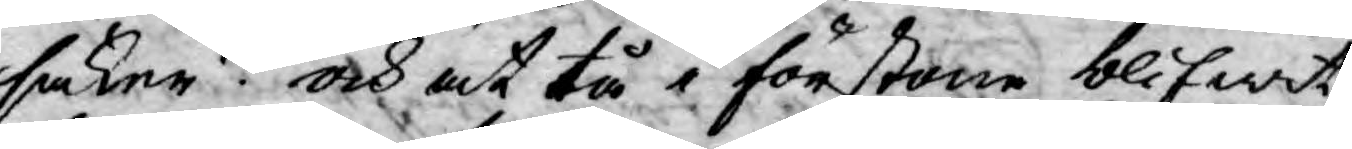saker? och at tå i förstone blifwit
